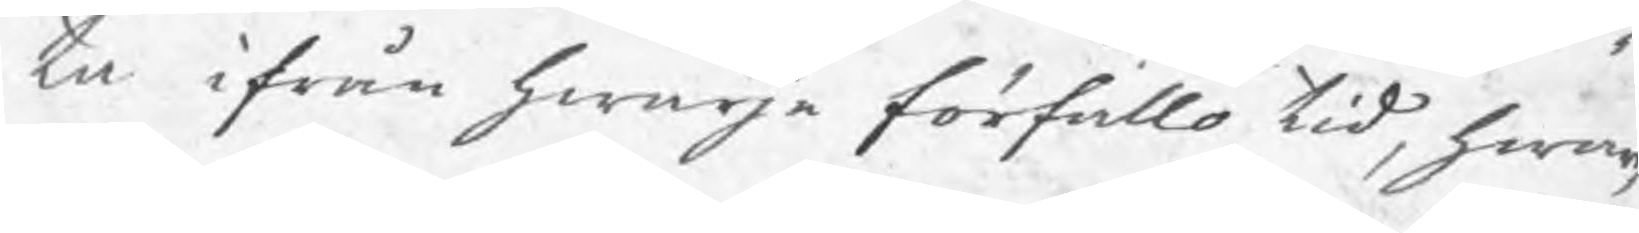ta ifrån hwarje förfallo tid, hwar
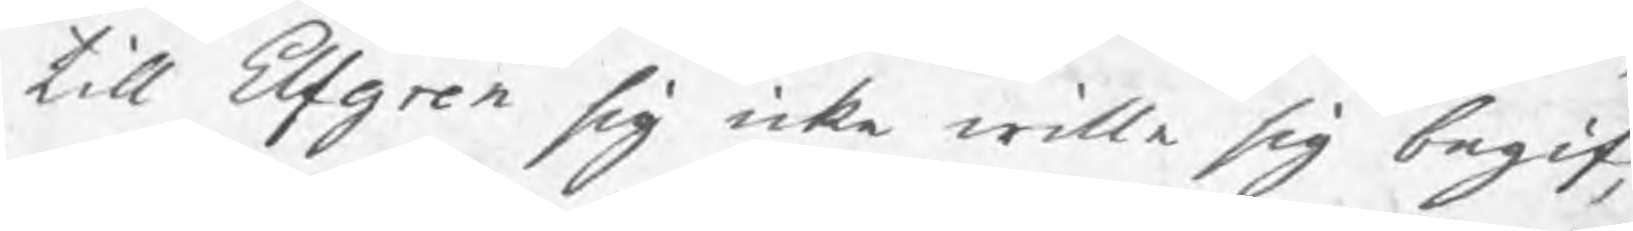till Elfgren sig icke wille sig begif¬
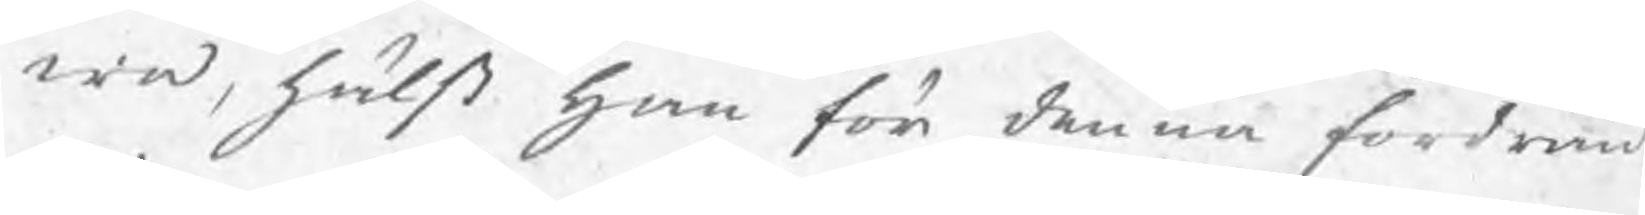wa, hälst han för denna fordran
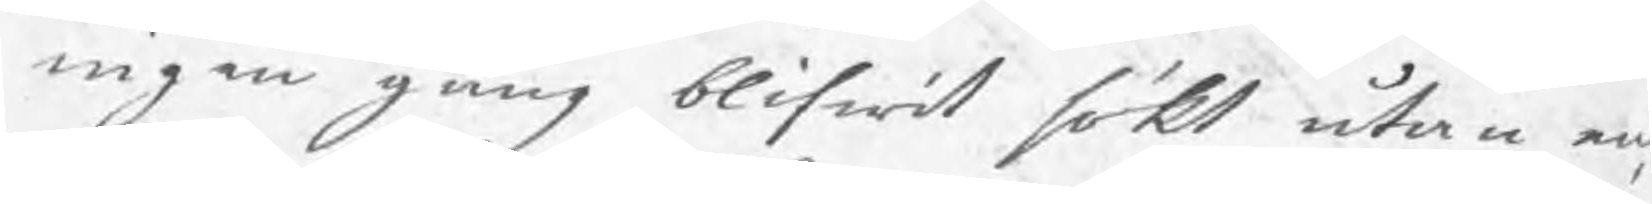ingen gång blifwit sökt utan en¬
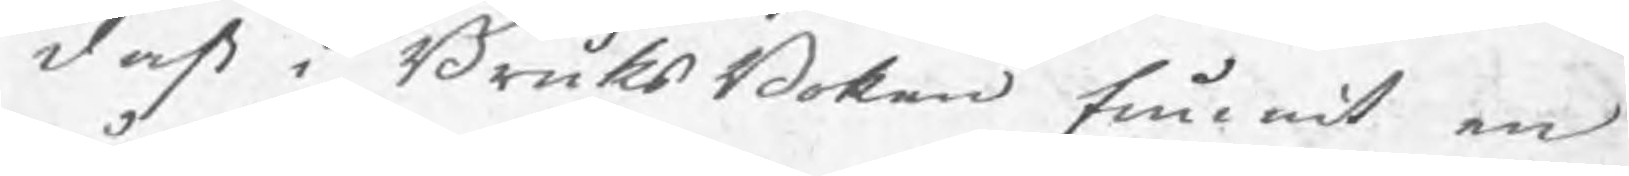dast i BruksBoken funnit en
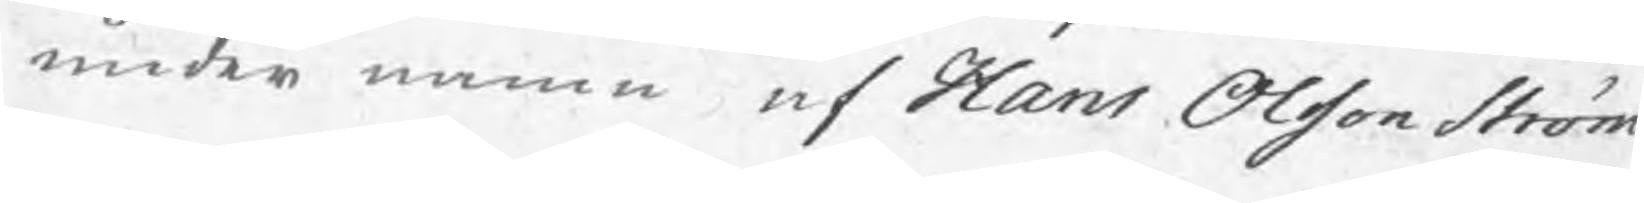under namn af Hans Olsson Ström
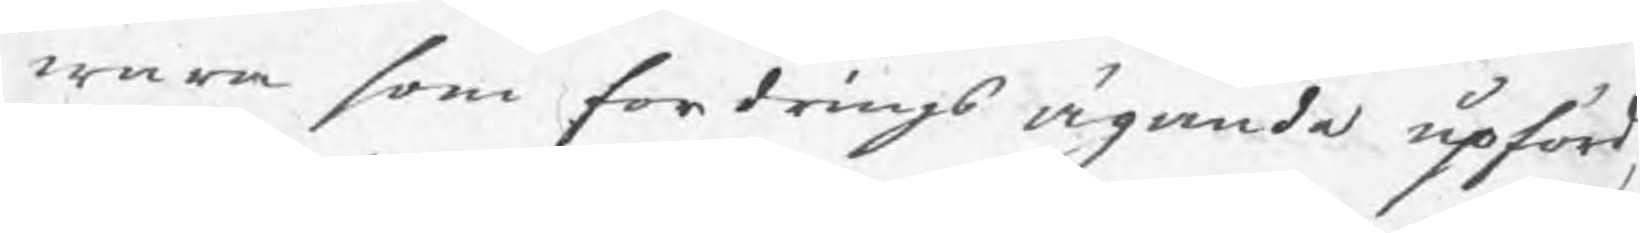wara som fordringsägande upförd,
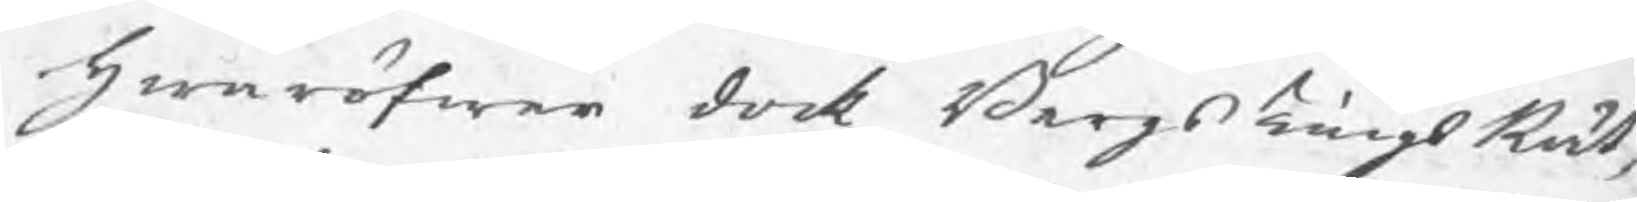hwaröfwer dock BergsTingsRät¬
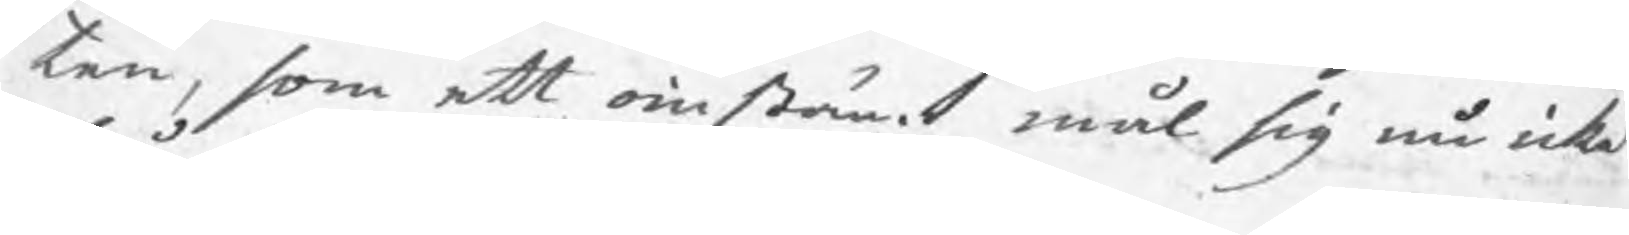ten, som ett oinstämt mål sig nu icke
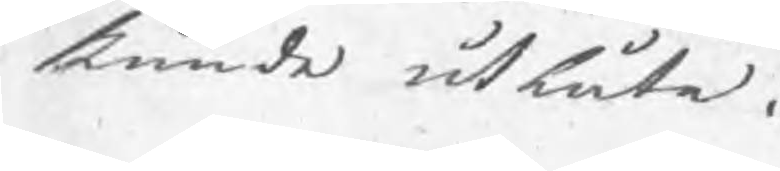kunde utlåta.
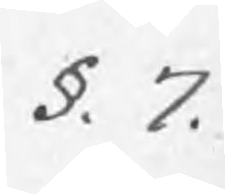§. 7.
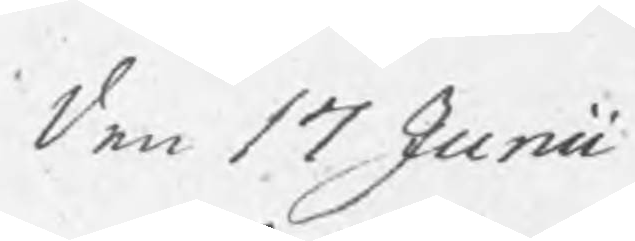den 17 Junii
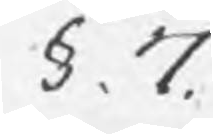§. 7.
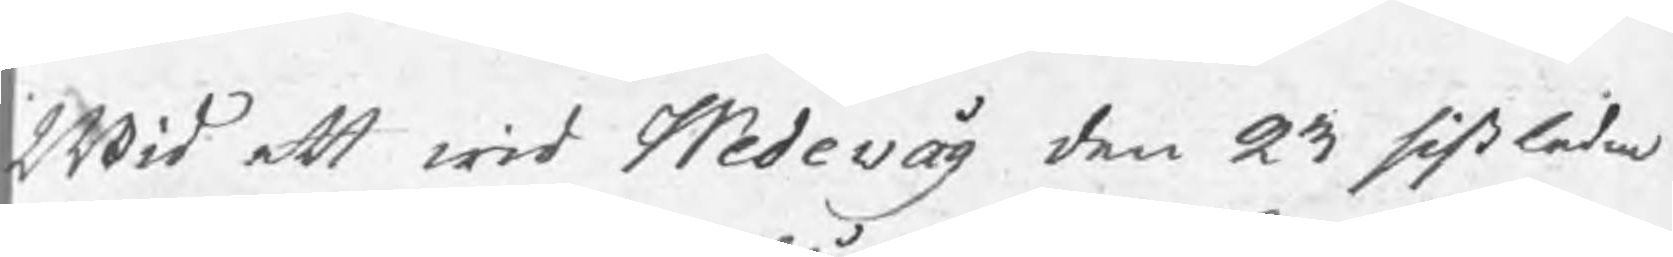Wid ett wid Wedevåg den 23 sistledne
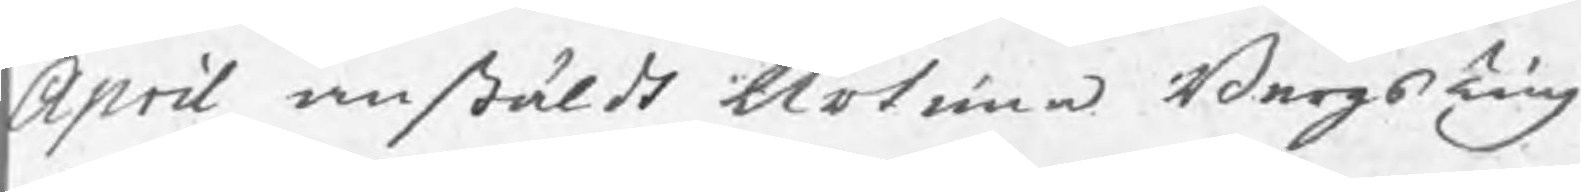April anstäldt Urtima BergsTing
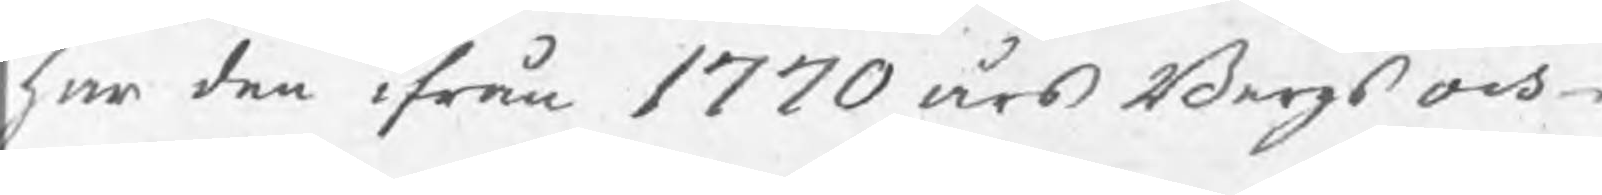har den ifrån 1770 års Bergs och
